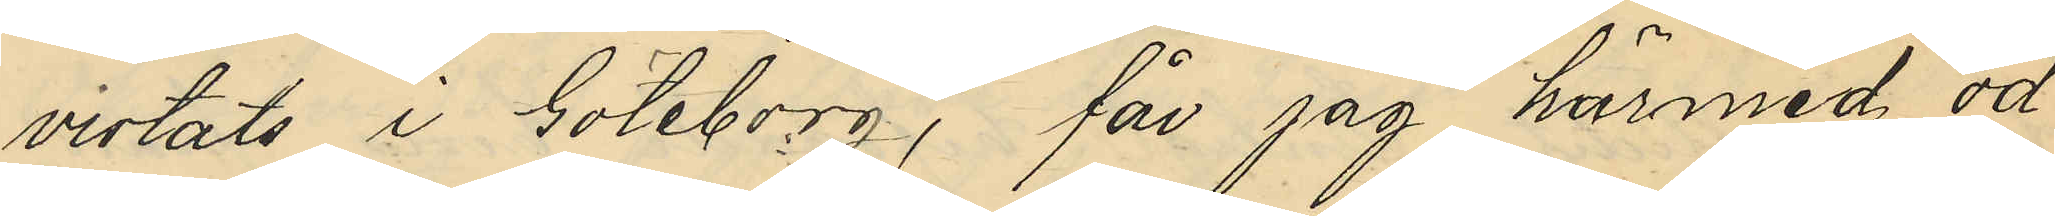vistats i Göteborg, får jag härmed öd¬
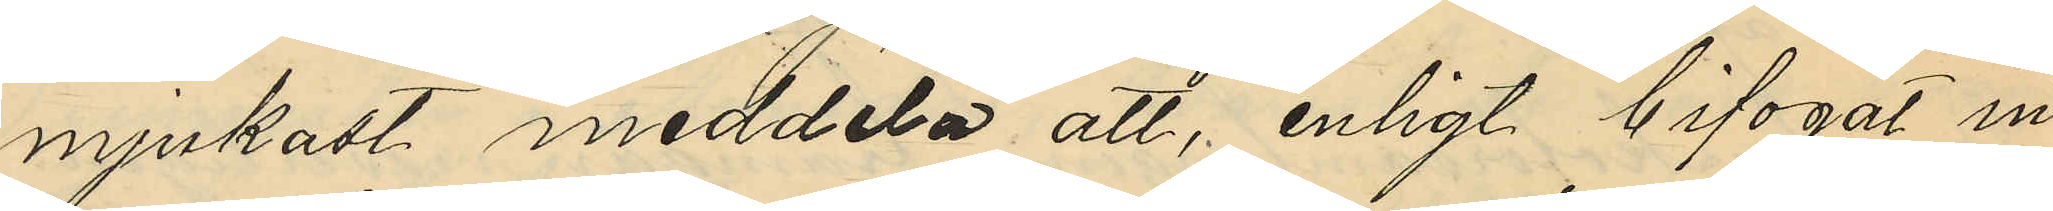mjukast meddela att, enligt bifogat in¬
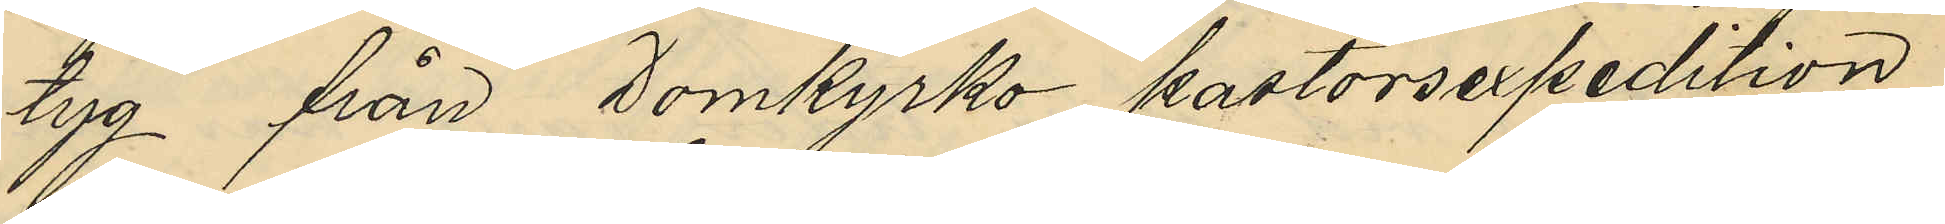tyg från Domkyrko pastorsexpedition,
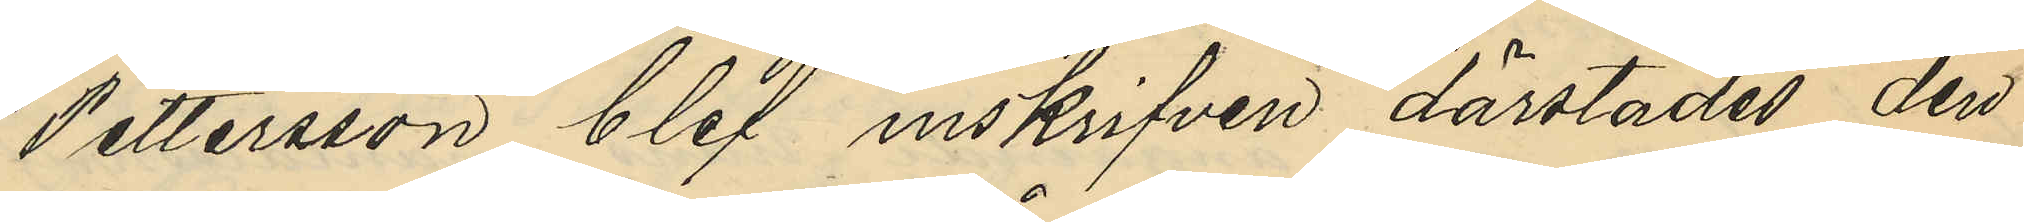Pettersson blef inskrifven därstädes den
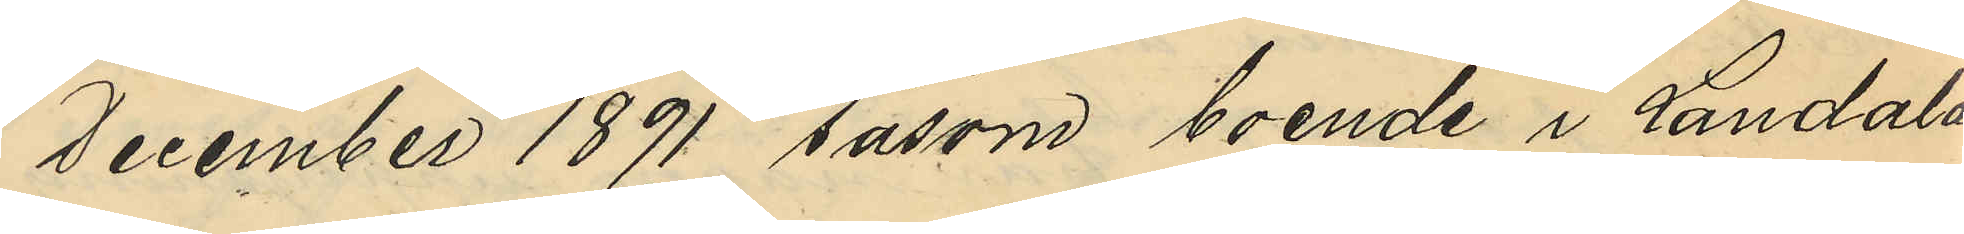1 December 1891 såsom boende i Landala
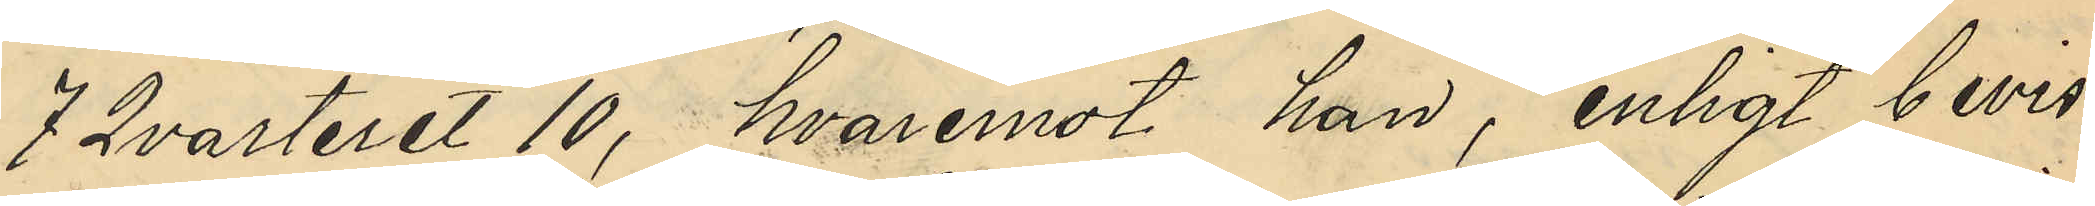7 Qvarteret 10, hvaremot han, enligt bevis
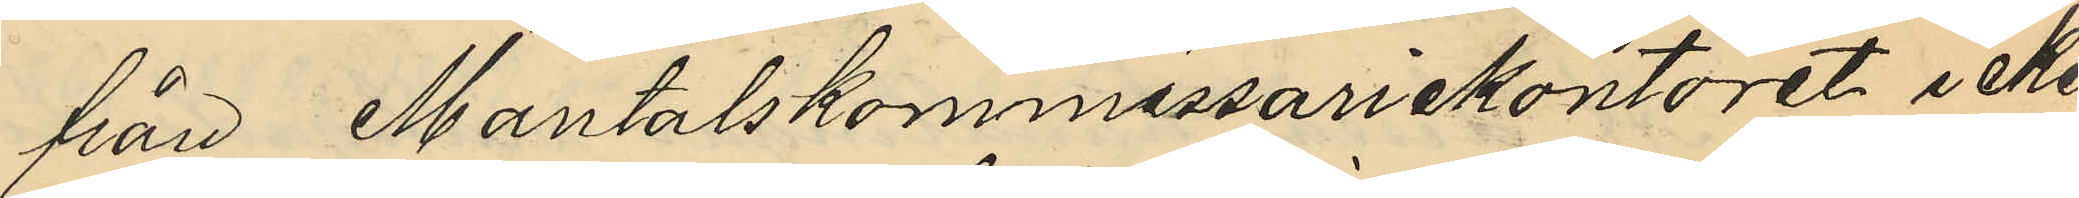från Mantalskommissariekontoret icke
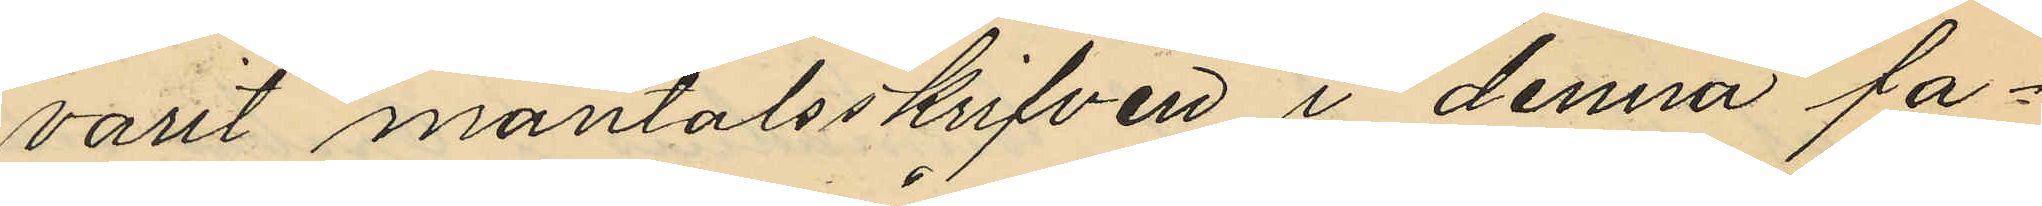varit mantalsskrifven i denna fa¬
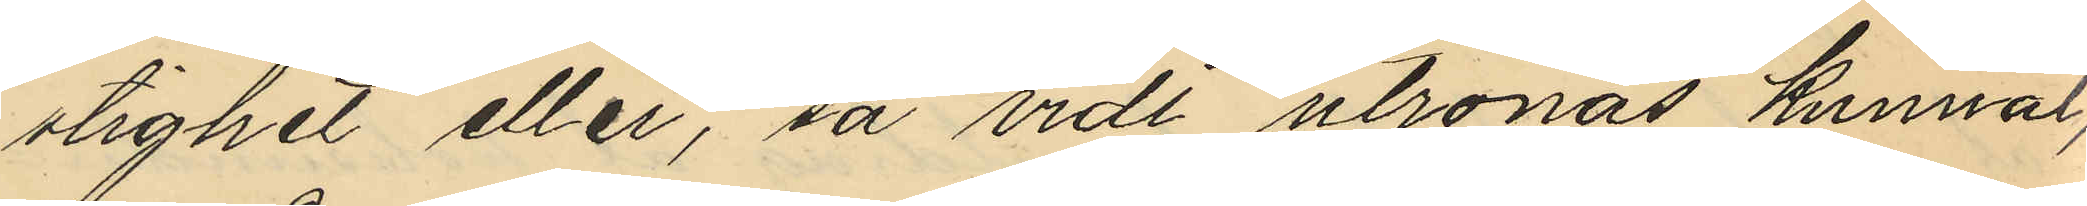stighet eller, så vidt utrönas kunnat,
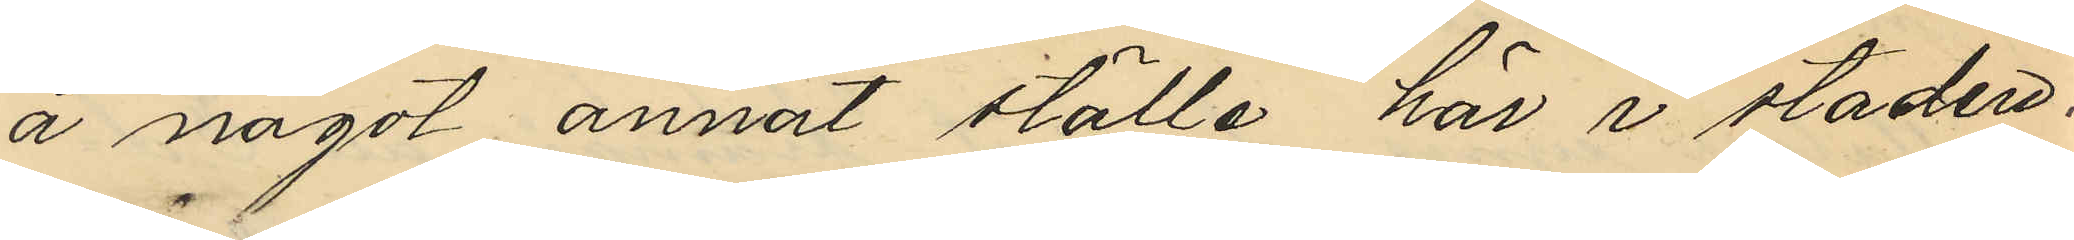å något annat ställe här i staden.
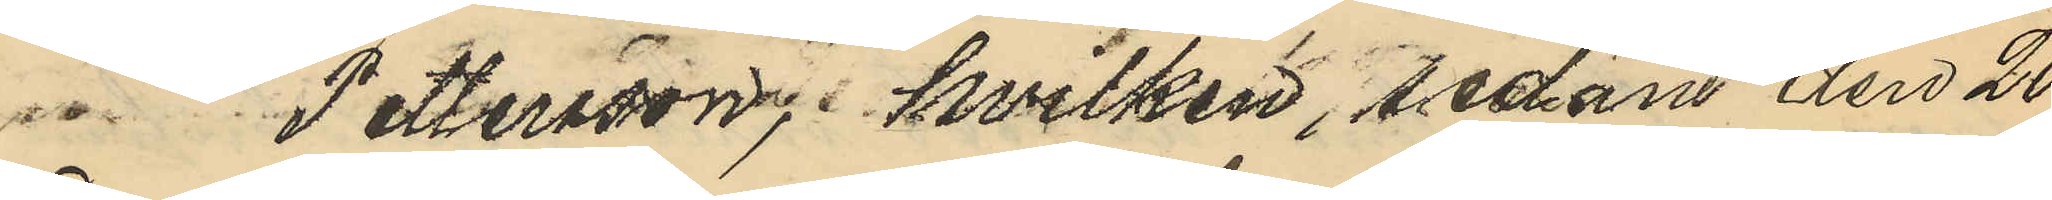Pettersson, hvilken, sedan den 20
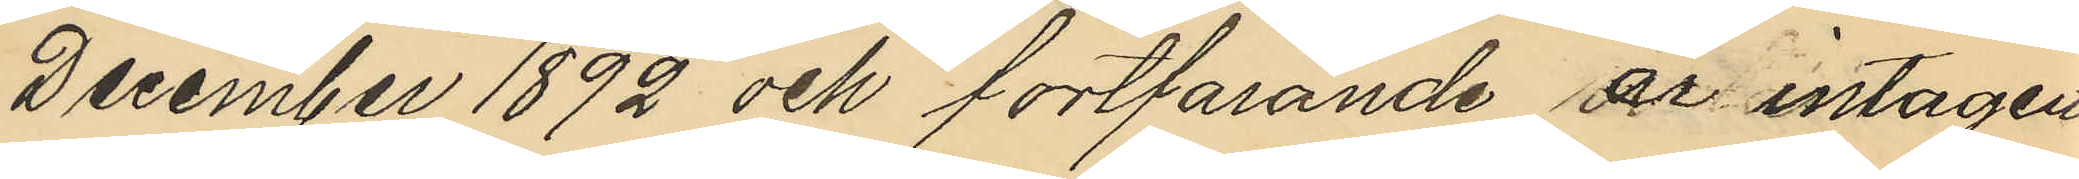December 1892 och fortfarande är intagen
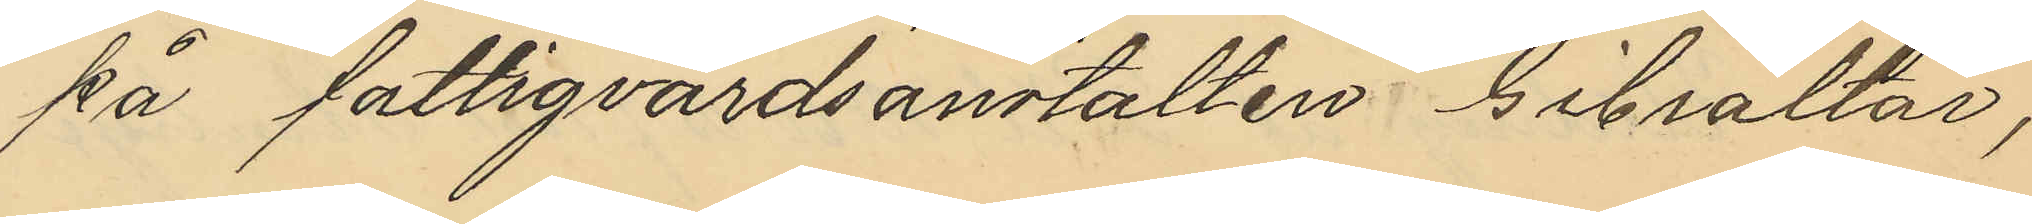på fattigvårdsanstalten Gibraltar,
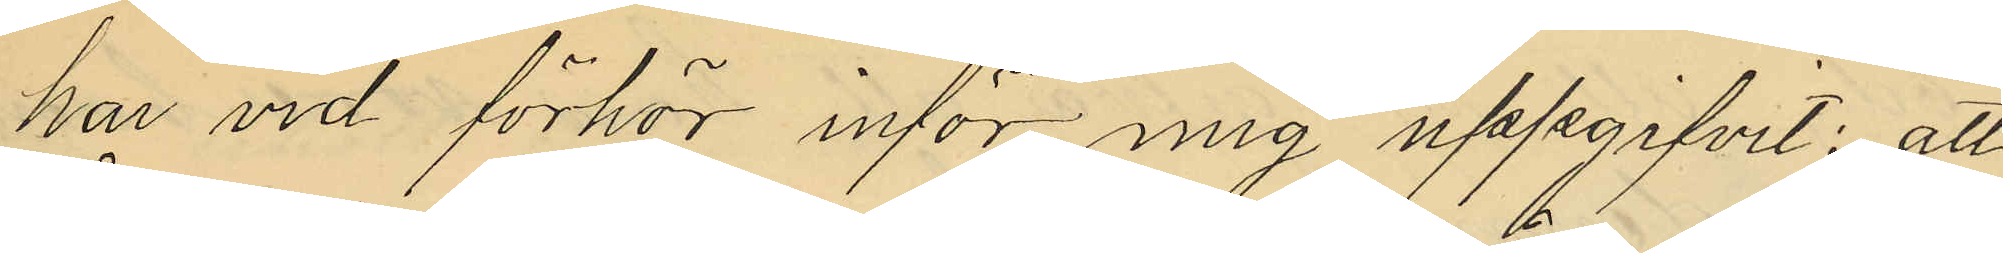har vid förhör inför mig uppgifvit: att
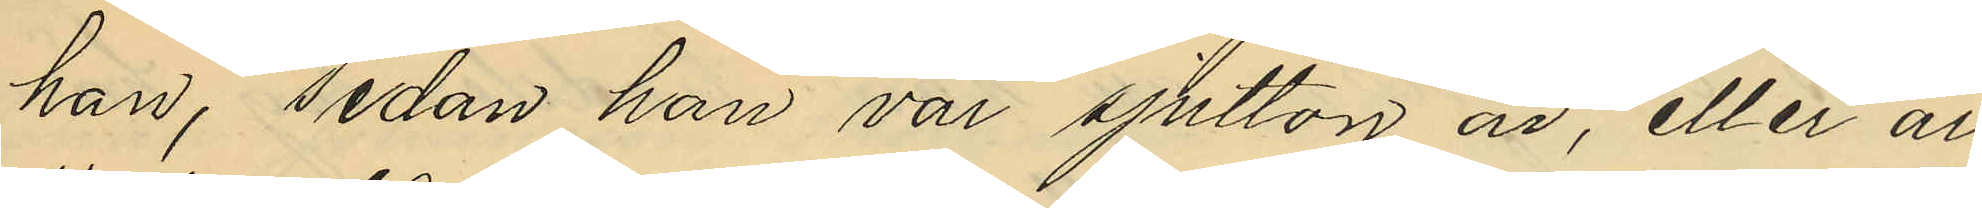han, sedan han var sjutton år, eller år
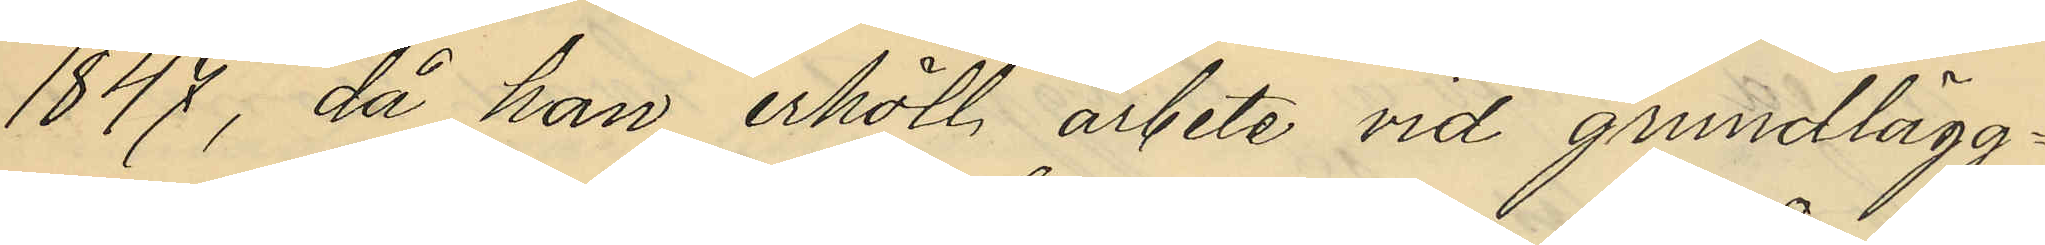1847, då han erhöll arbete vid grundlägg¬
